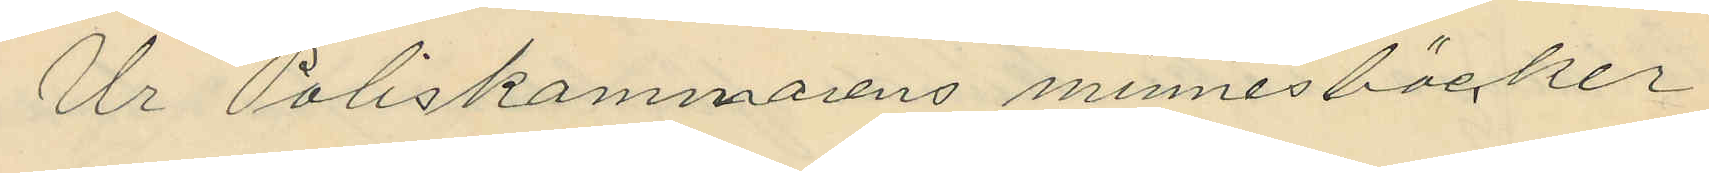Ur Poliskammarens minnesböcker
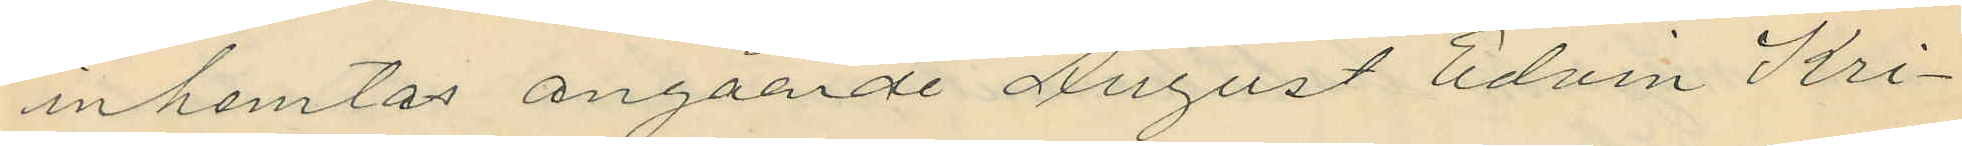inhemtas angående August Edvin Kri¬
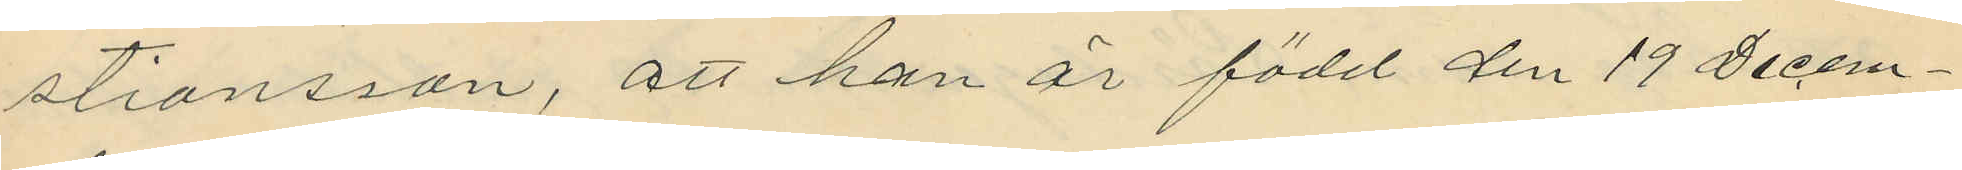stiansson, att han är född den 19 Decem¬
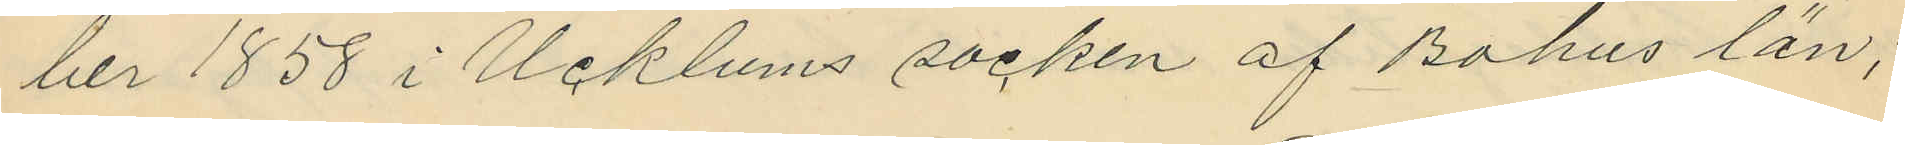ber 1858 i Ucklums socken af Bohus län;
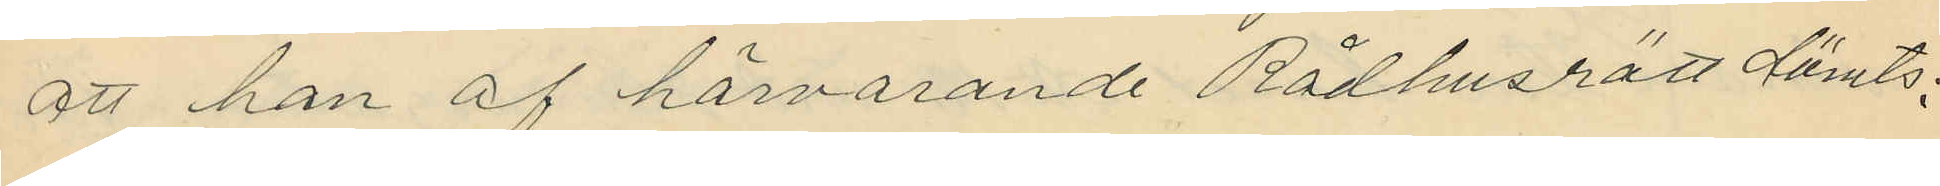att han af härvarande Rådhusrätt dömts:
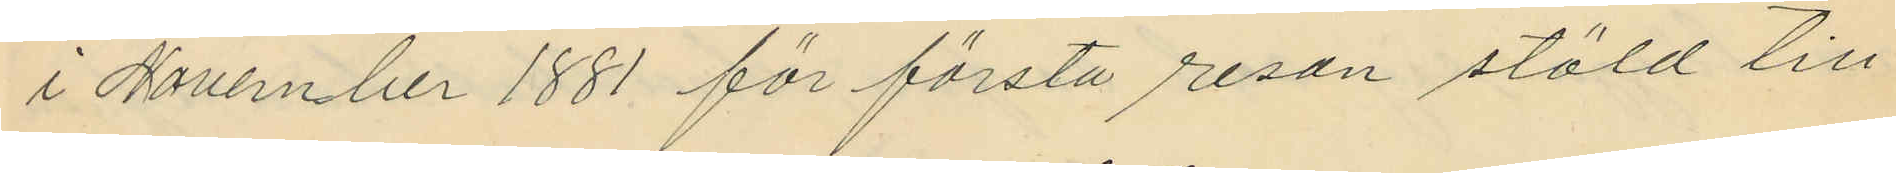i November 1881 för första resan stöld till
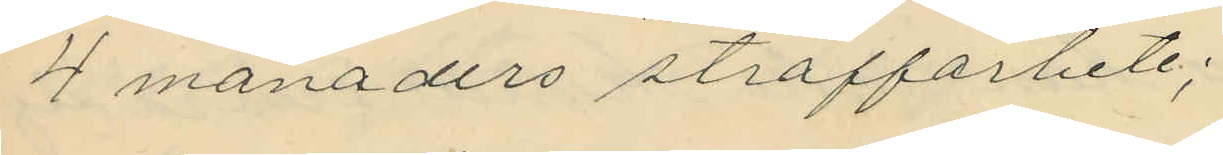4 månaders straffarbete;
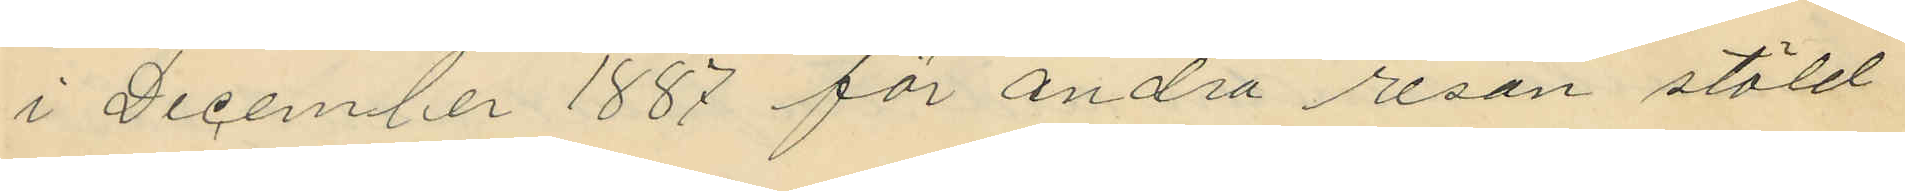i December 1887 för andra resan stöld
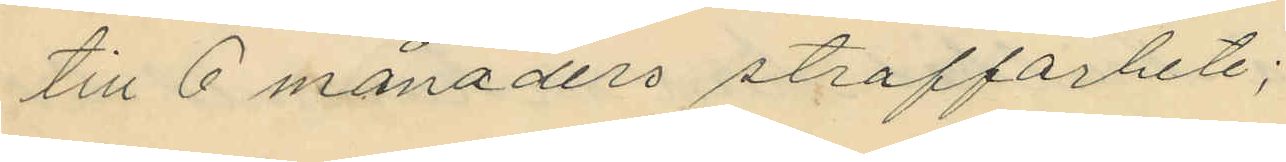till 6 månaders straffarbete;
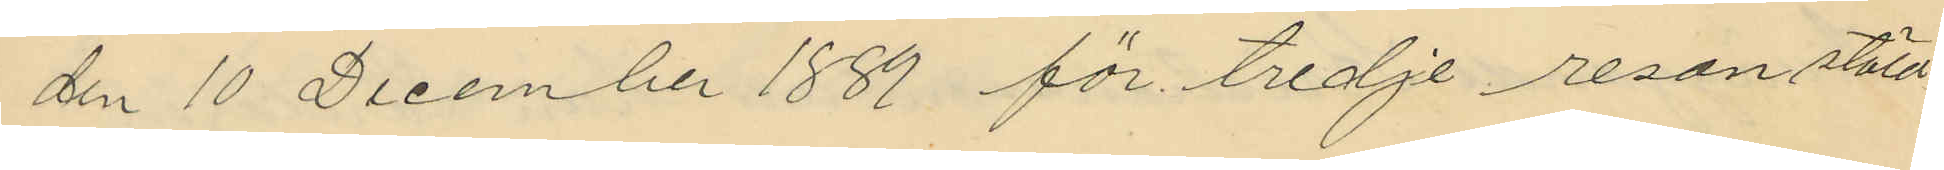den 10 December 1889 för tredje resan stöld
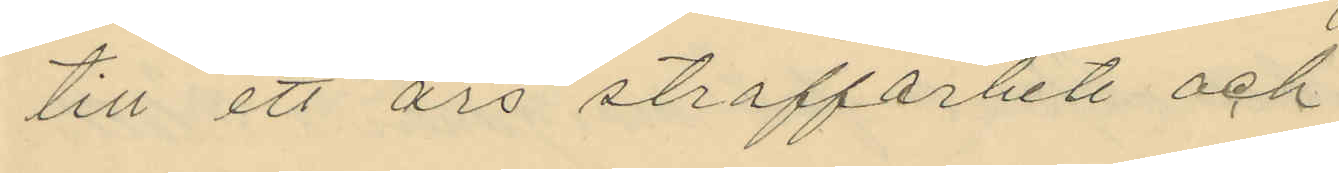till ett års straffarbete och
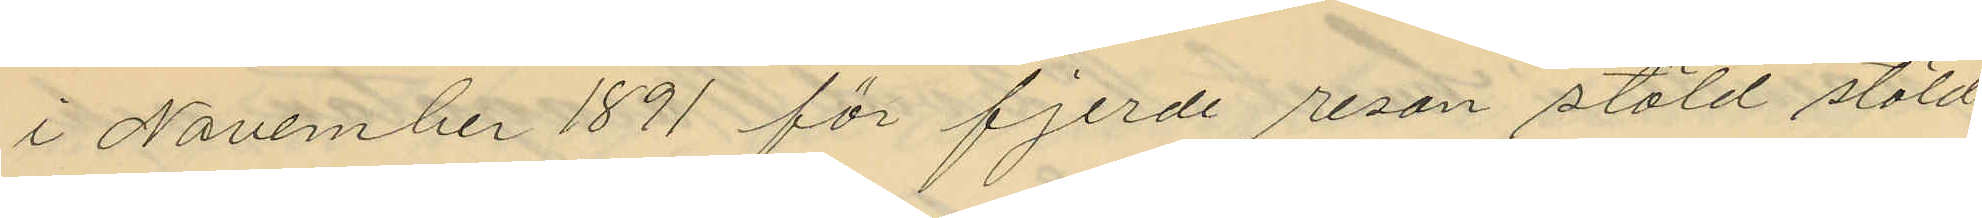i November 1891 för fjerde resan stöld stöld
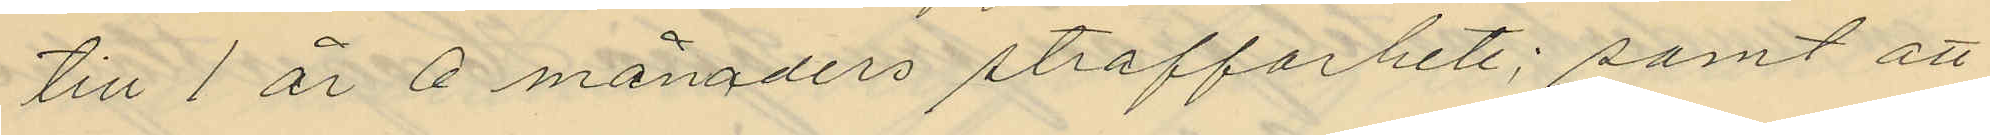till 1 år 6 månaders straffarbete; samt att
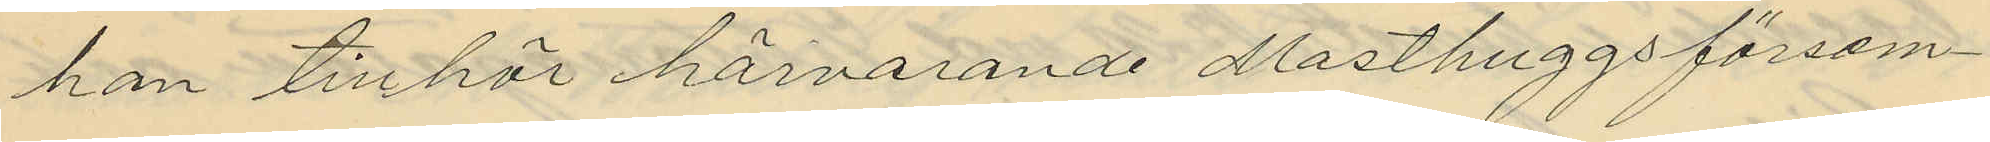han tillhör härvarande Masthuggsförsam¬
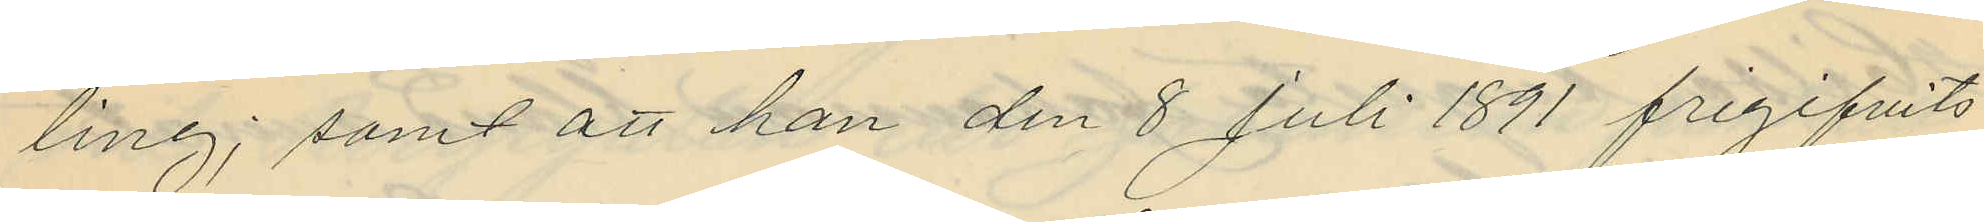ling; samt att han den 8 Juli 1891 frigifvits
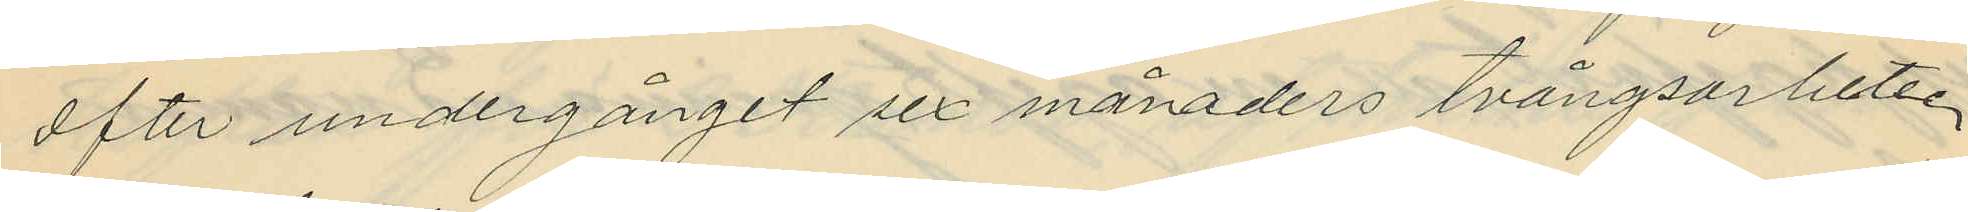efter undergånget sex månaders tvångsarbete,
